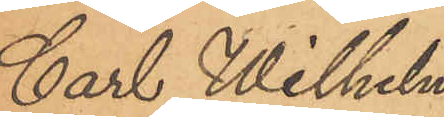Carl Wilhelm
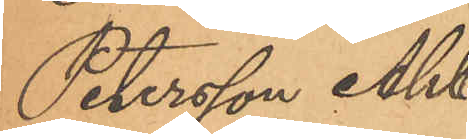Petersson Ahl¬
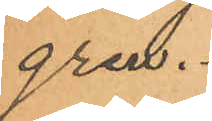gren.
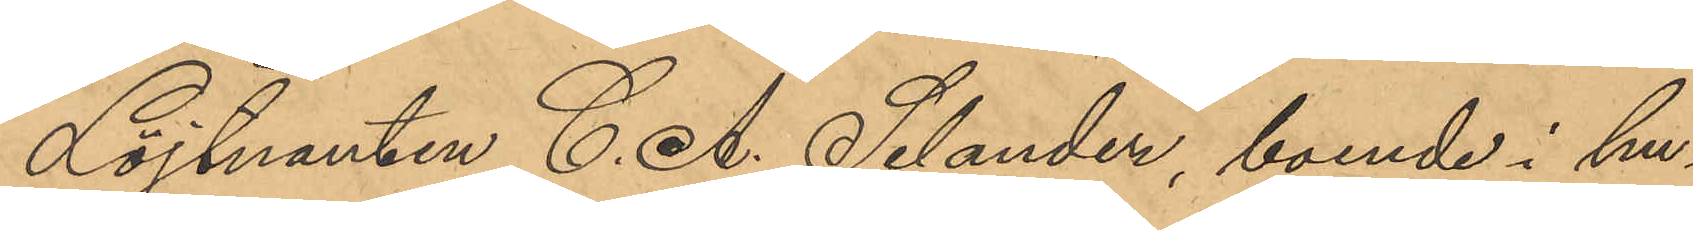Löjtnanten Carl Selander, boende i hu¬
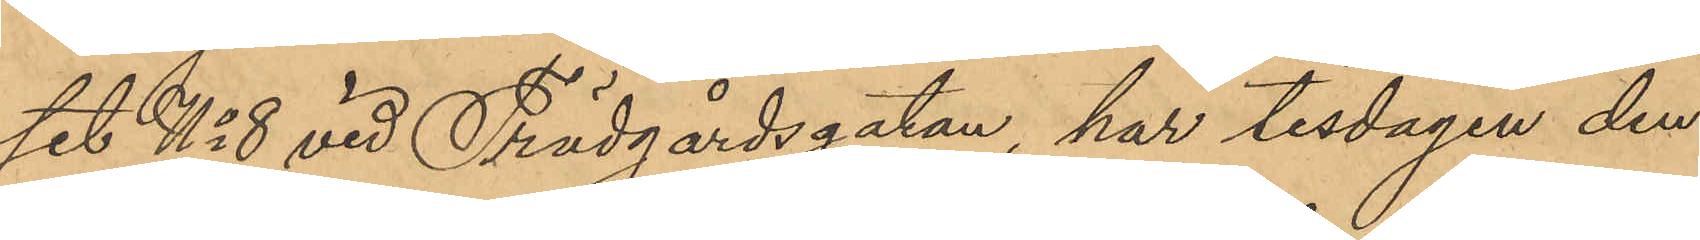set No 8 vid Trädgårdsgatan, har tisdagen den
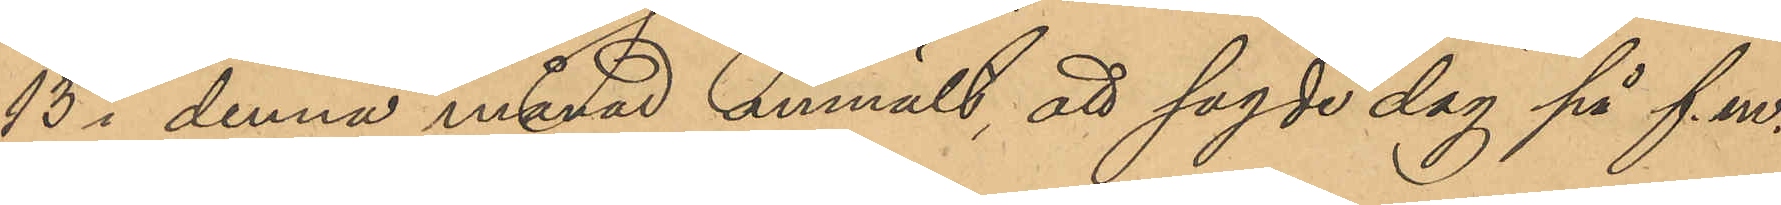13 i denna månad anmält, att sagde dag på f. m. 
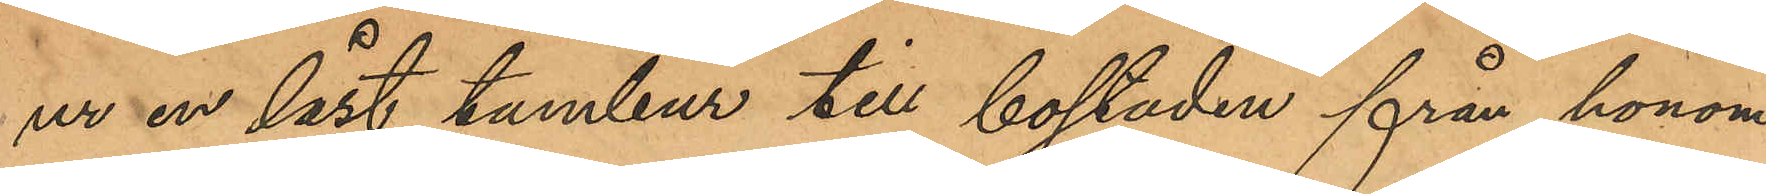ur en låst tambur till bostaden från honom
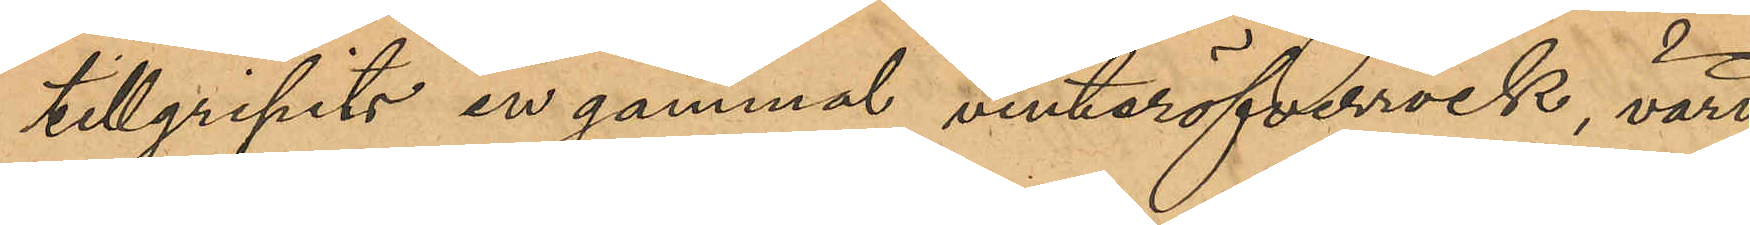tillgripits en gammal vinteröfverrock, värd
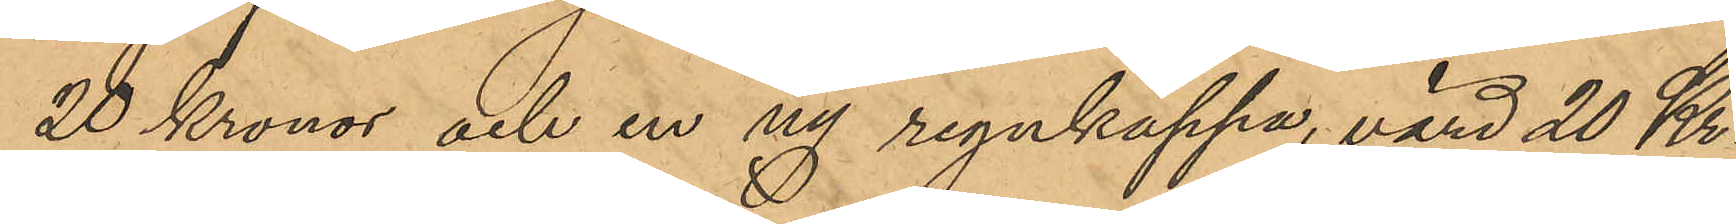20 Kronor, och en ny regnkappa, värd 20 Kr.
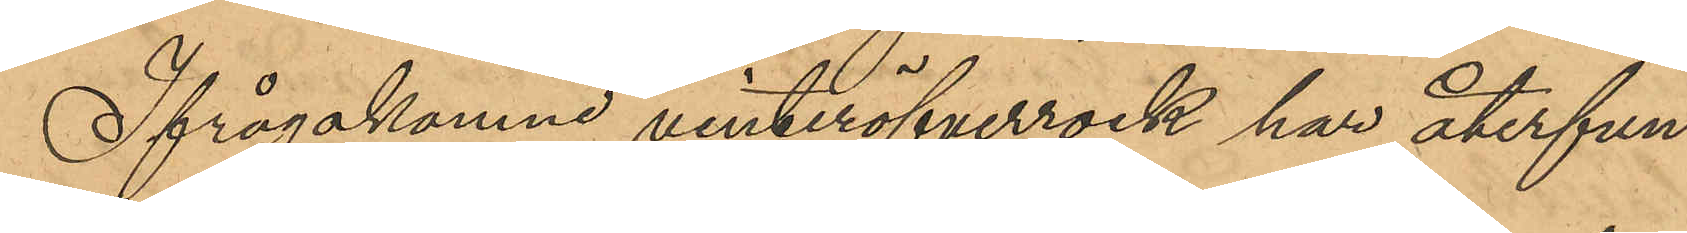Ifrågakomne vinteröfverrock har återfun¬
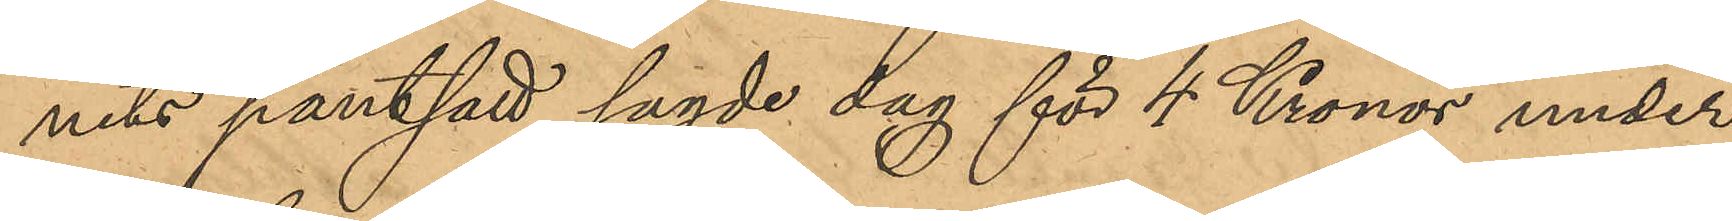nits pantsatt sagde dag för 4 Kronor under
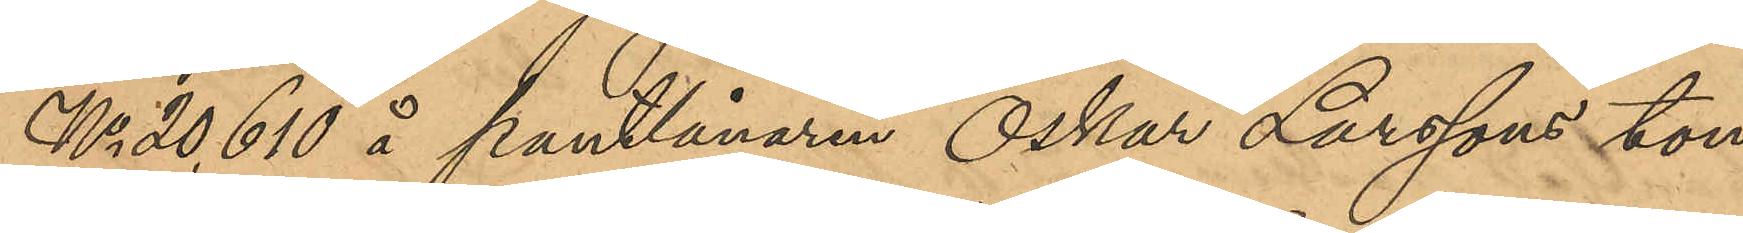No 20,610 å pantlånaren Oskar Larssons kon¬
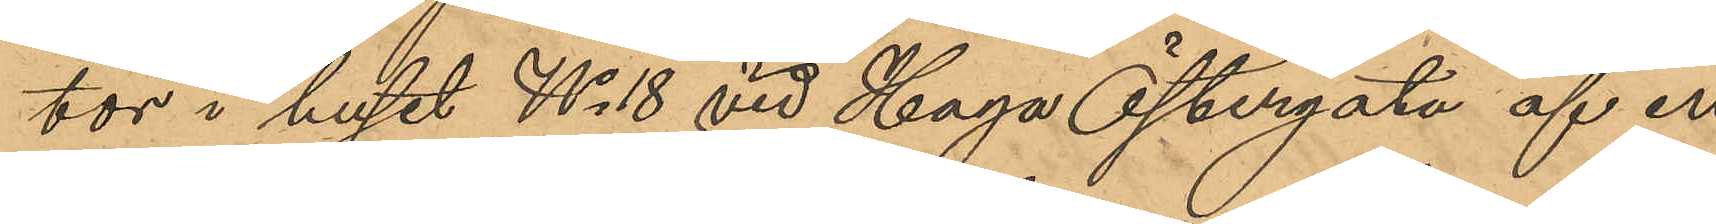tor i huset No 18 vid Haga Östergata af en
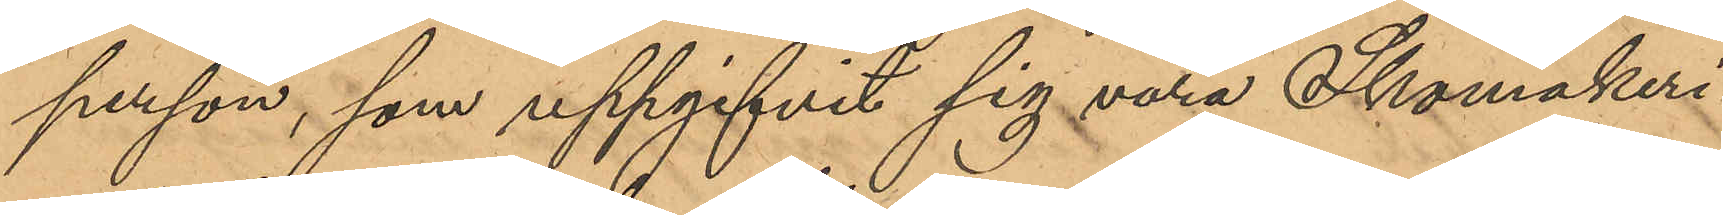person, som uppgifvit sig vara Skomakeri¬
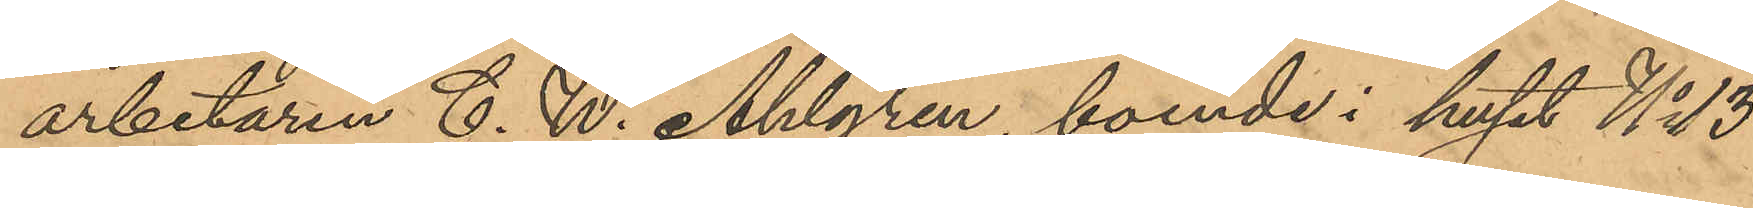arbetaren C. W. Ahlgren, boende i huset No 13
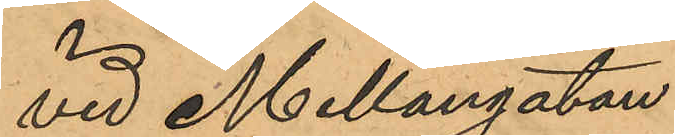vid Mellangatan.
